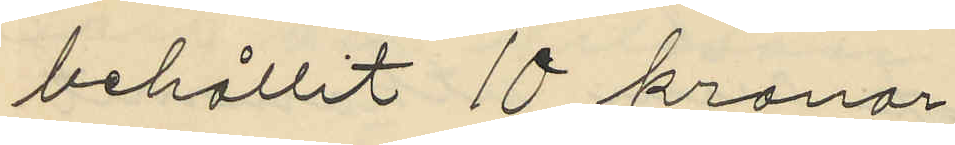behållit 10 kronor
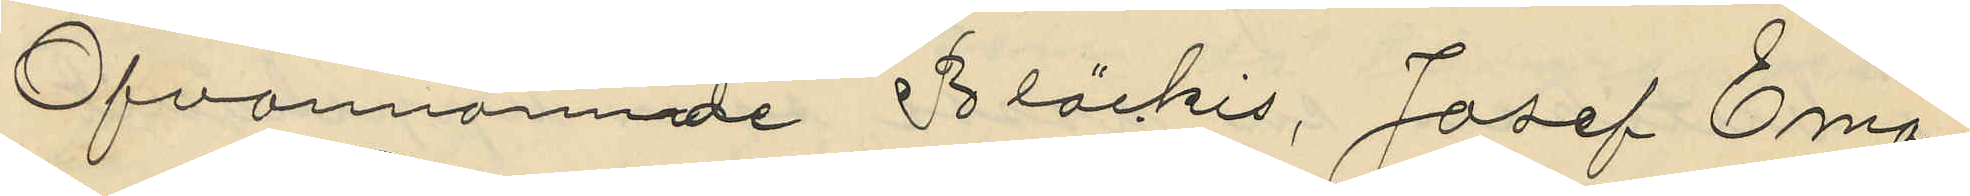Ofvannämnde Bläckis, Josef Ema¬
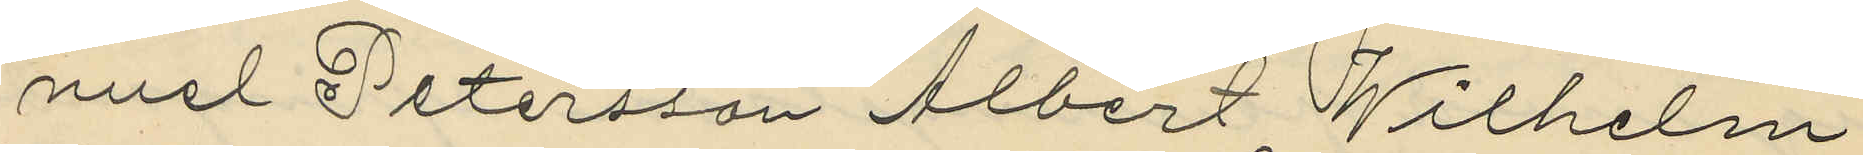nuel Petersson, Albert Wilhelm
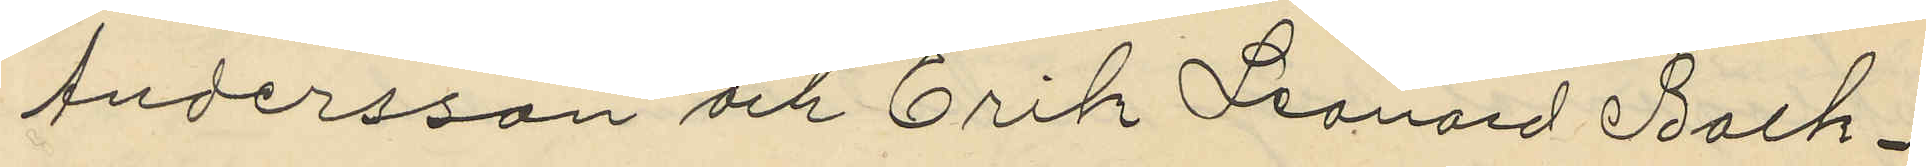Andersson och Erik Leonard Back¬
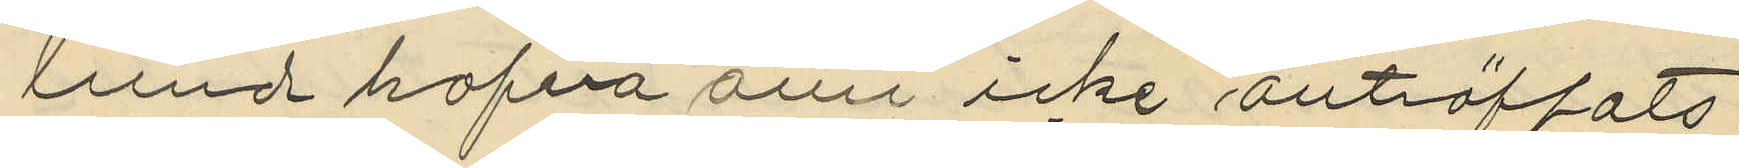lund hafva ännu icke anträffats.
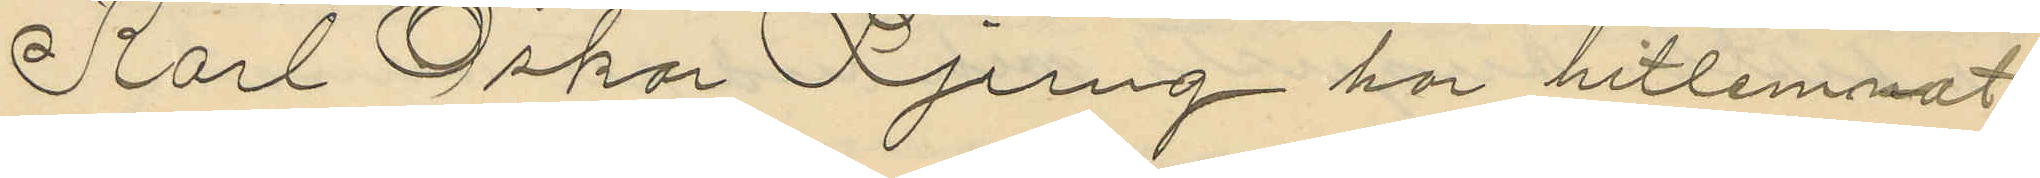Karl Oskar Ljung har hitlemnat
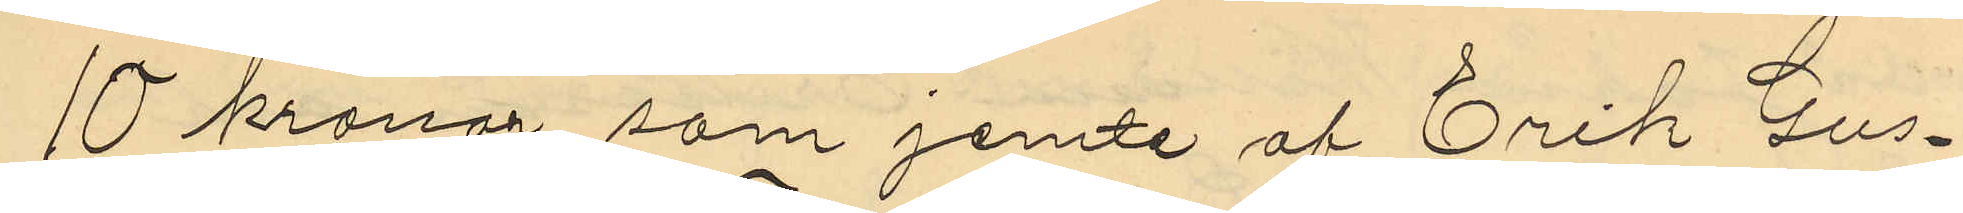10 kronor som jemte af Erik Gus¬
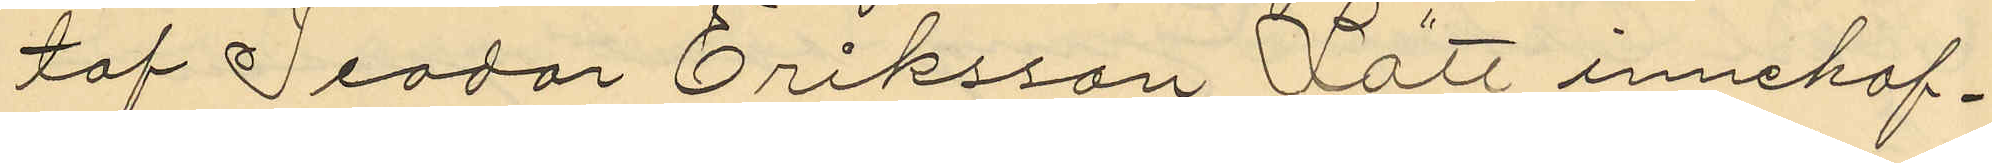taf Teodor Eriksson Lätt innehaf¬
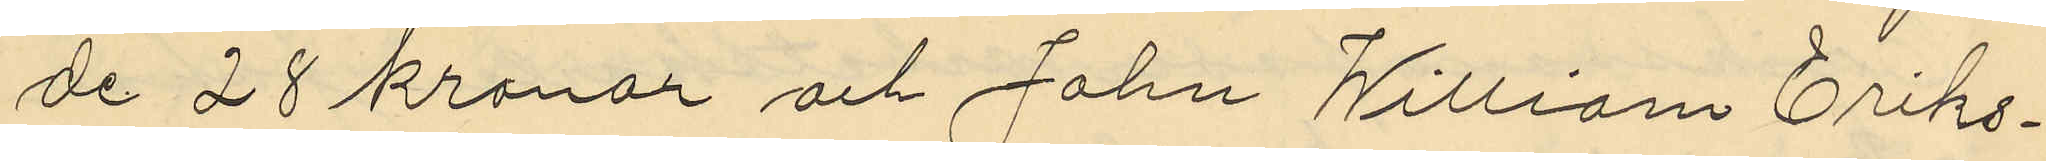de 28 kronor och John William Eriks¬
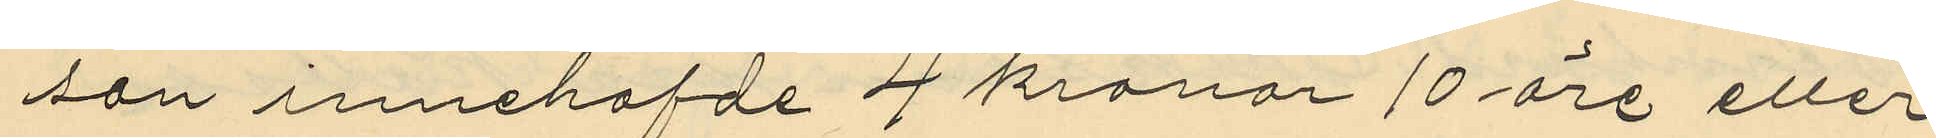son innehafde 4 kronor 10 öre eller
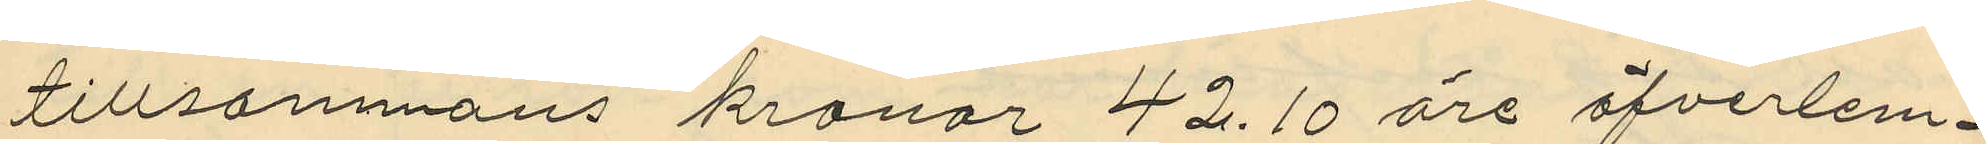tillsammans kronor 42.10 öre öfverlem¬
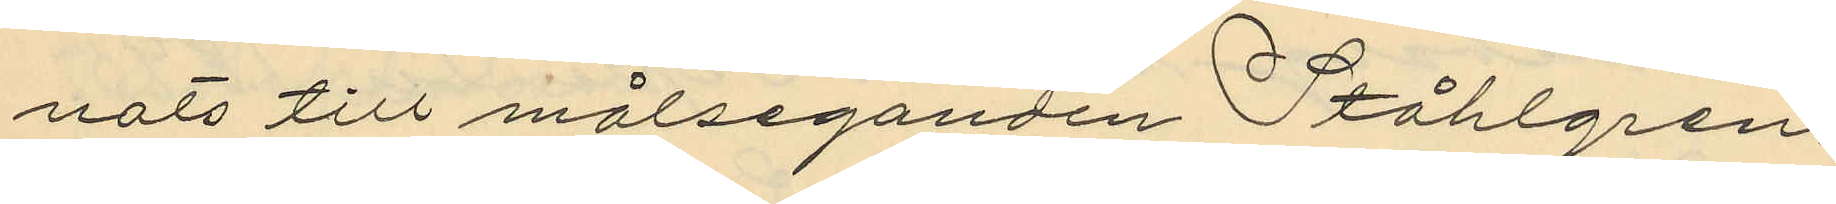nats till målseganden Ståhlgren.
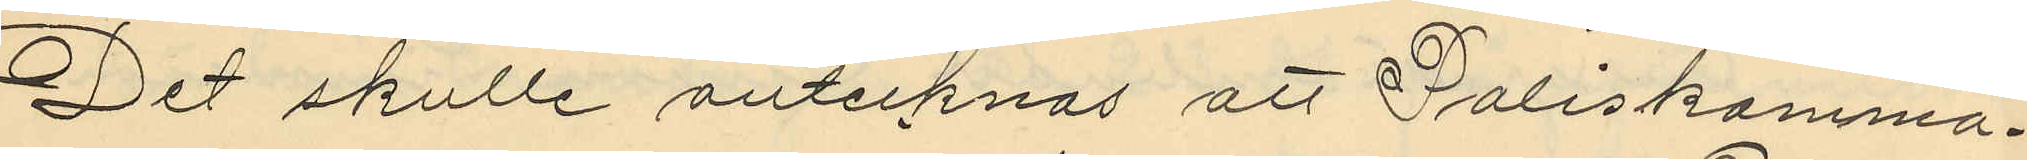Det skulle antecknas att Poliskamma¬
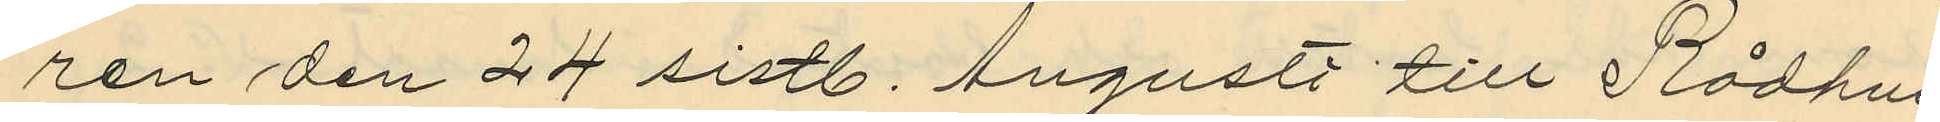ren den 24 sistl. Augusti till Rådhus
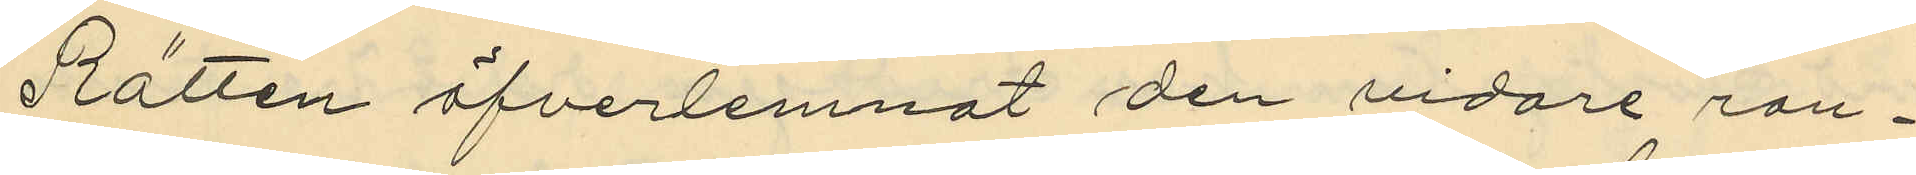Rätten öfverlemnat den vidare ran¬
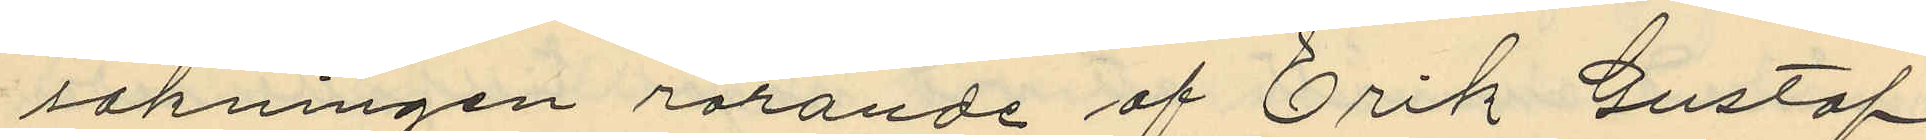sakningen rörande af Erik Gustaf
